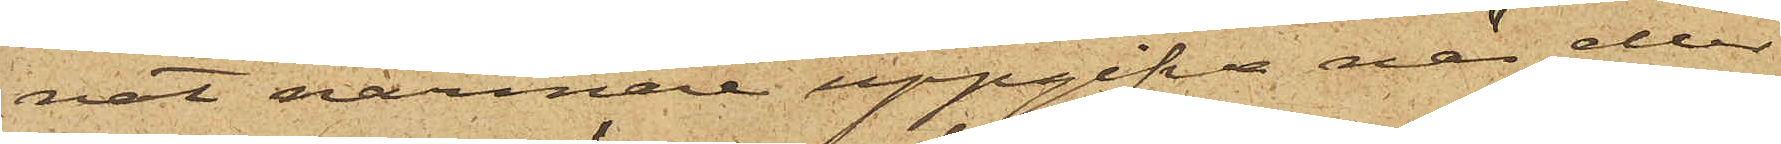nat närmare uppgifva när eller
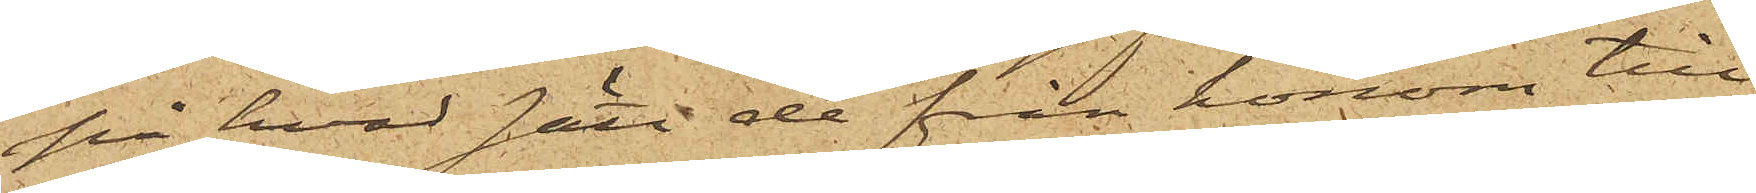på hvad fått de från honom till¬
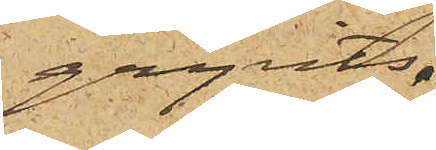gripits.
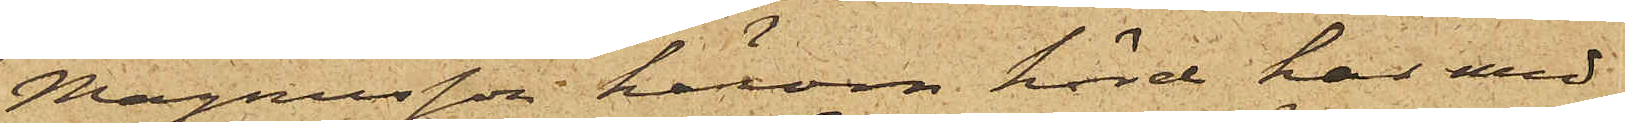Magnusson härom hörd har med
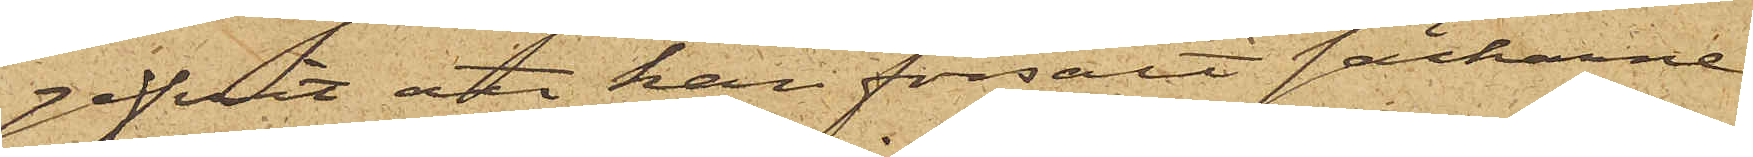gifvit att han försålt säckarne
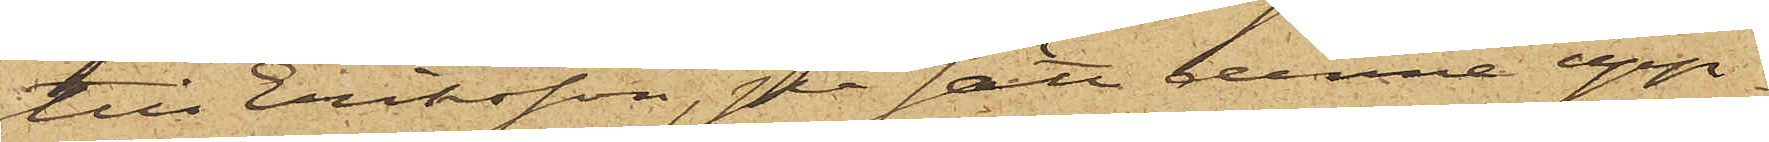till Eriksson, på sätt denne upp¬
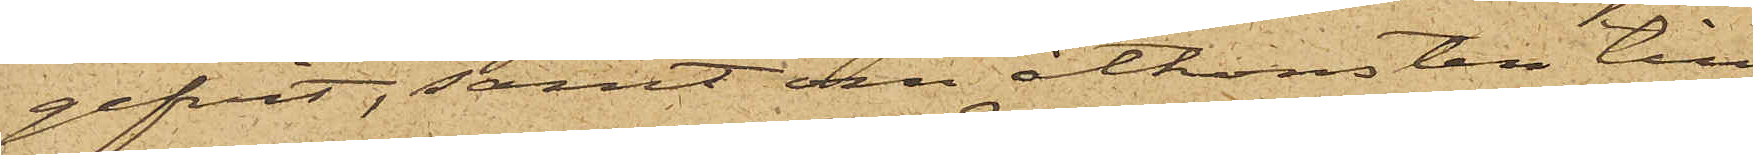gifvit, samt om åtkomsten till
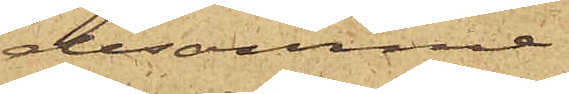desamme
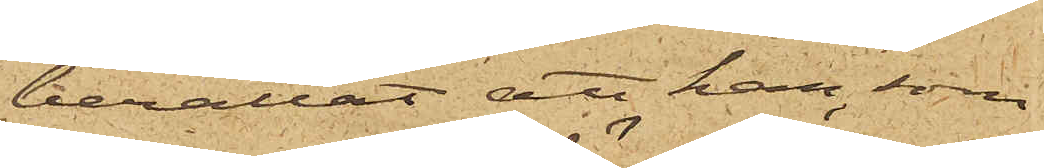berättat att han, som
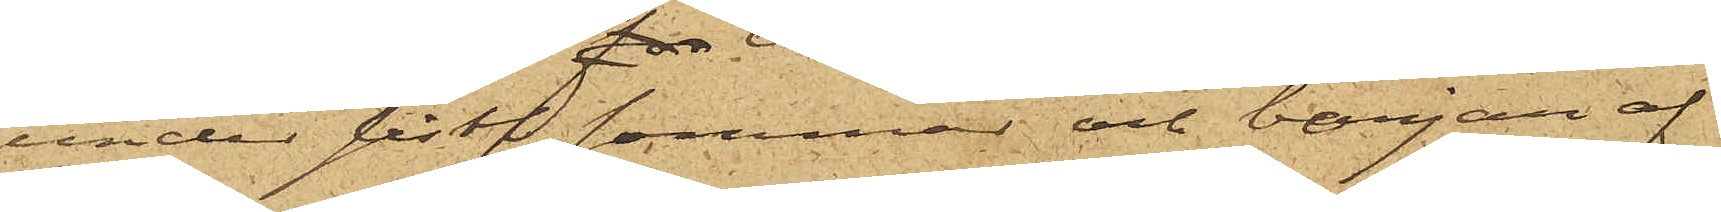under sistl. sommar och början af
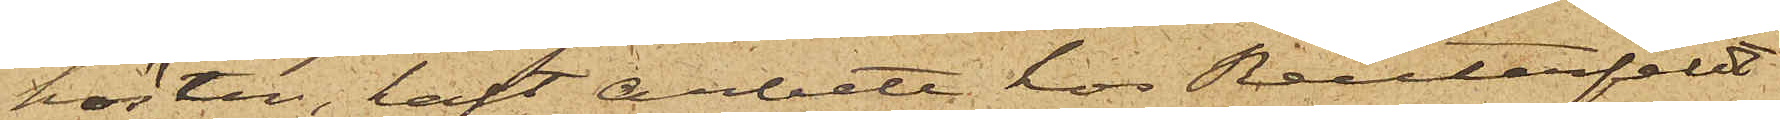hösten, haft arbete hos Reuterfeldt
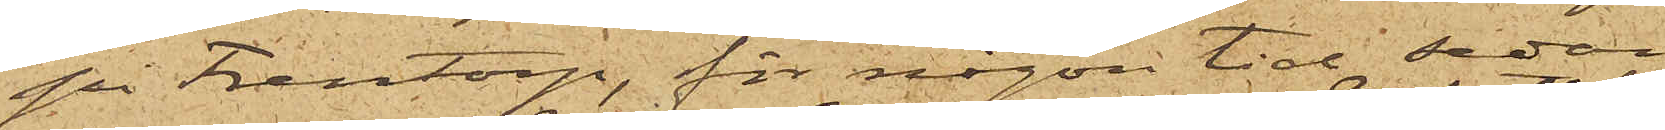på Frentorp, för någon tid sedan
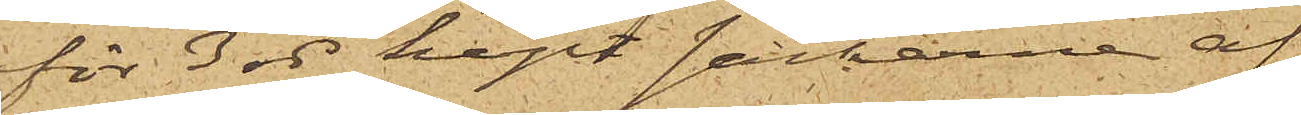för 3 rdr köpt säckarne af
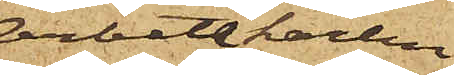Arbetskarlen
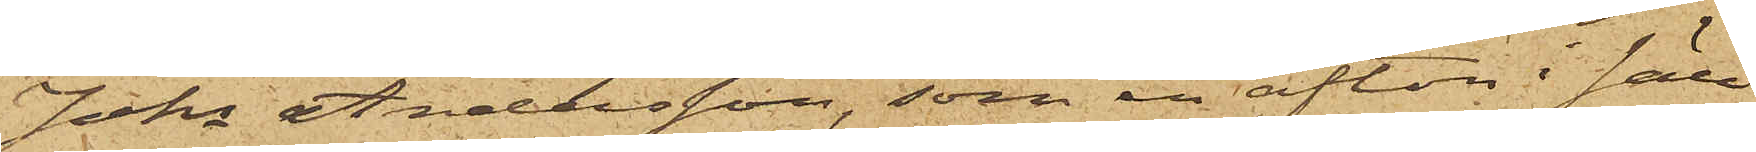Johs Andersson, som en afton i säll¬
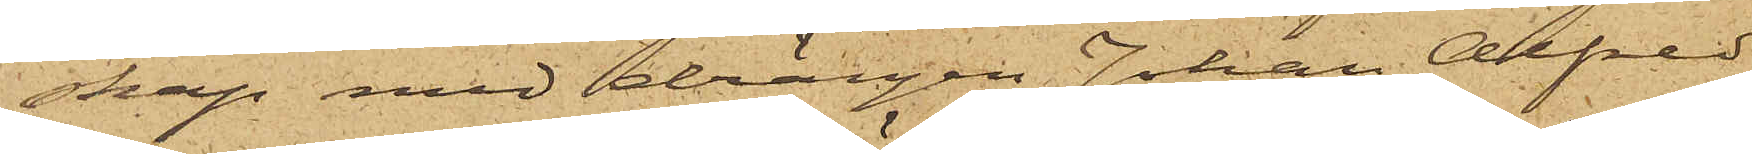skap med drängen Johan Alfred
